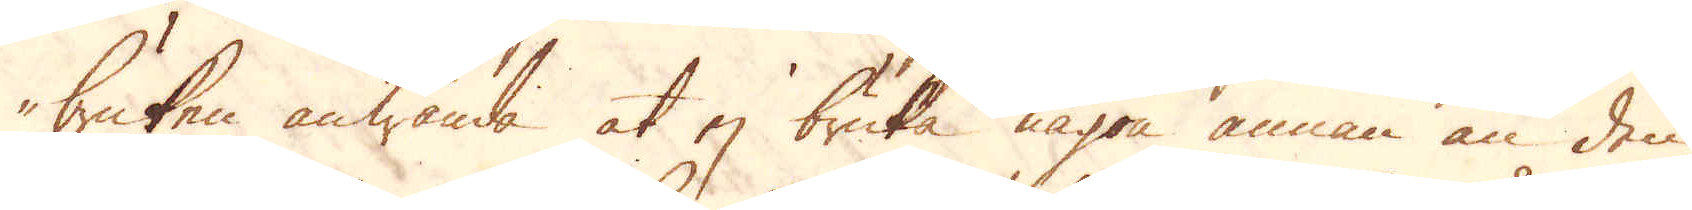bruken anwända at ej bruka någon annan än den
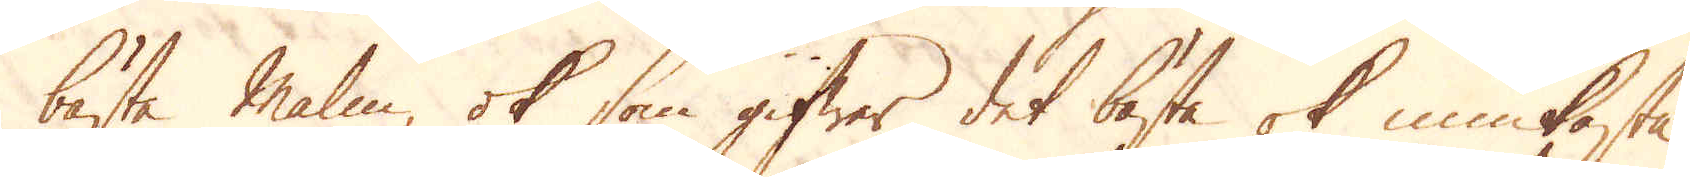bästa Malm ok som gifwer det bästa ok miukaste
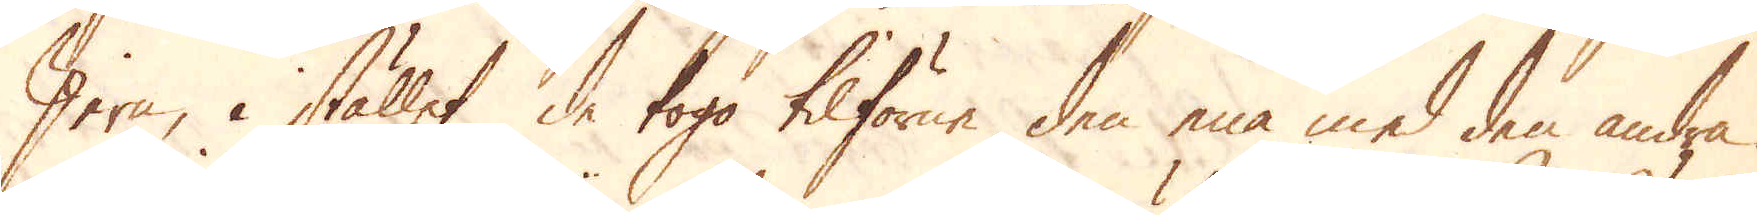Jern, i stället de toga tilförene den ena med den andra.
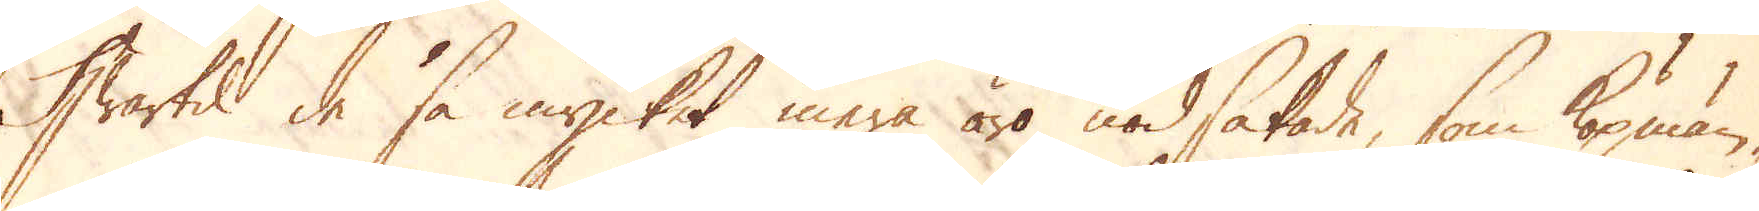Hwartid de så mycket mera äro nödsakade, som köpmän-
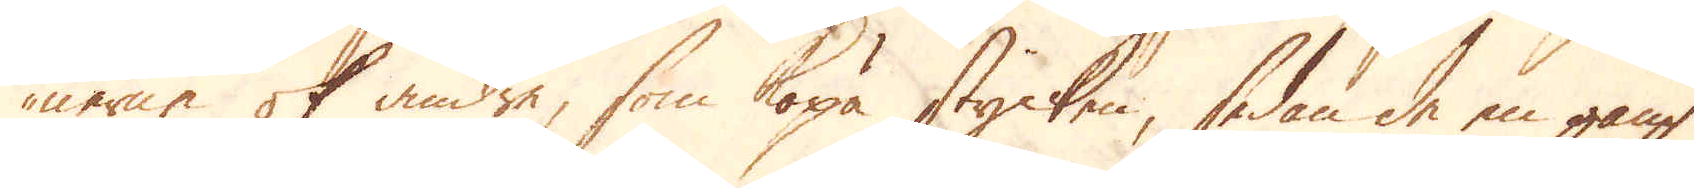nerne ok andre, som köpa stycken, sedan de en gång
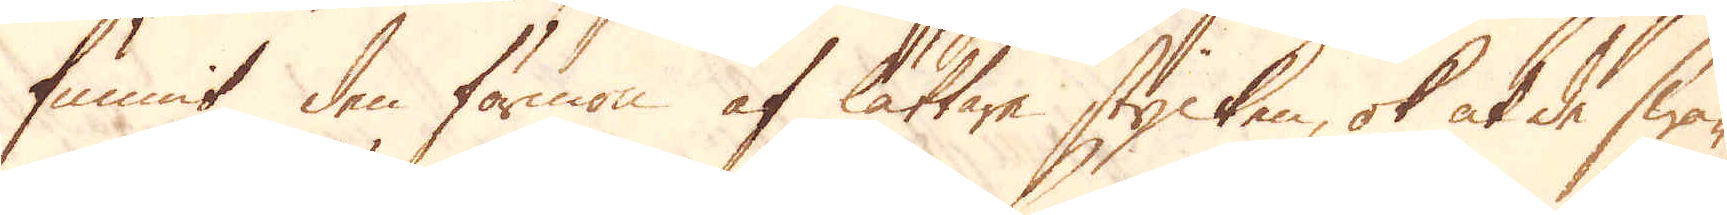funnit den förmon af lättare stycken, ok at de swa-
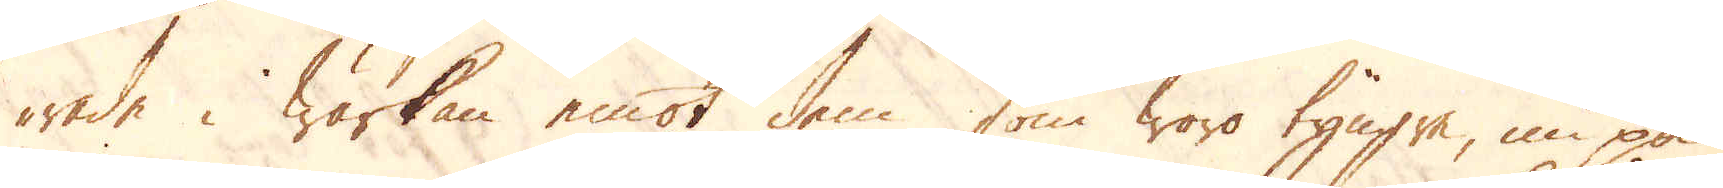rade i wärkan emot dem som woro tyngre, nu på
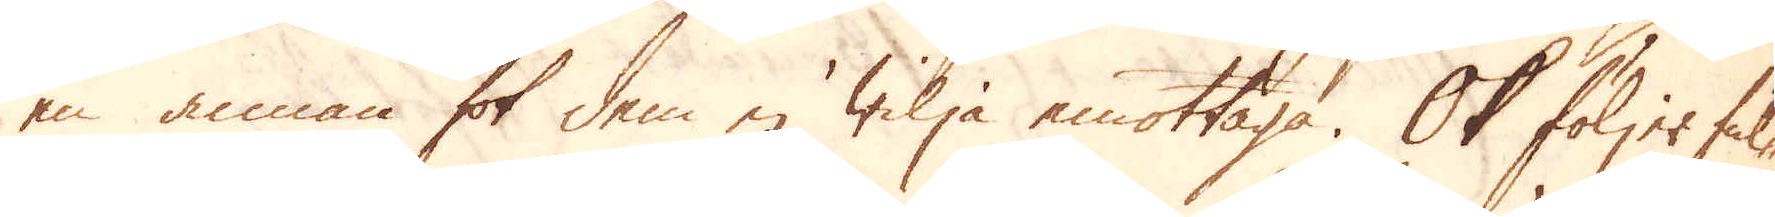en annan fot dem ej wilja emottaga. Ok följer ful-
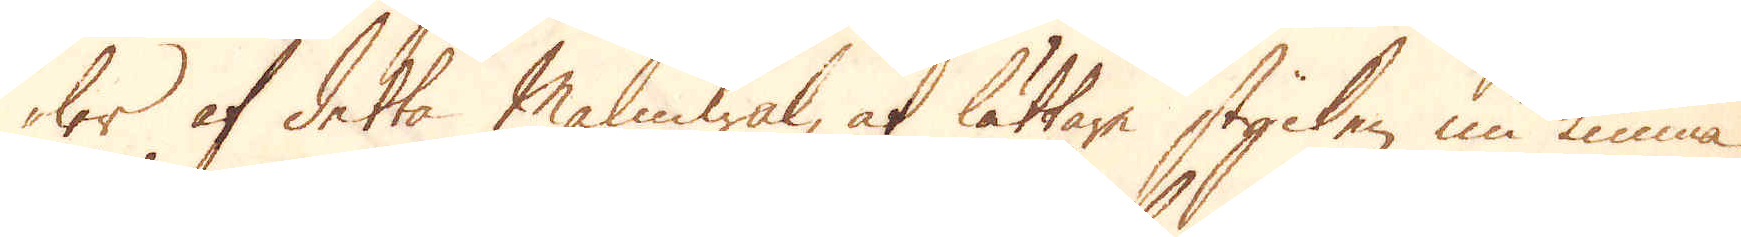ler af detta Malmwal, at lättare stycken nu kunna
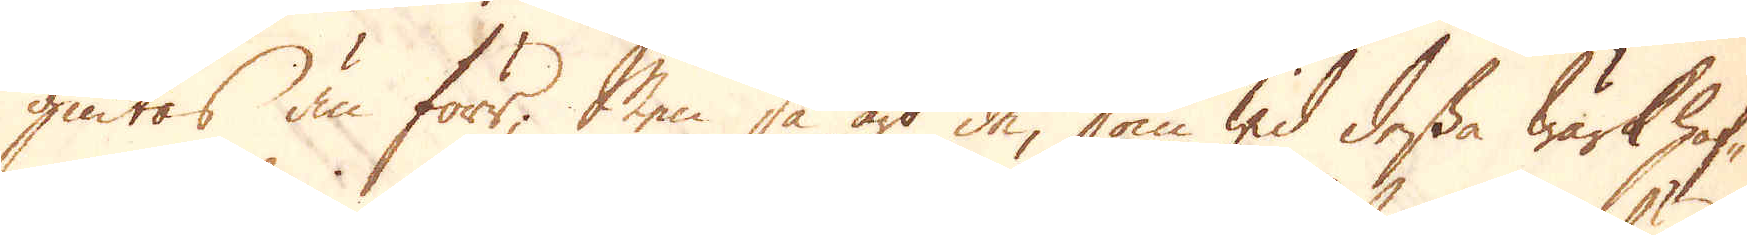giutas än förr; Men så äro de, som wid desa Wärk haf-
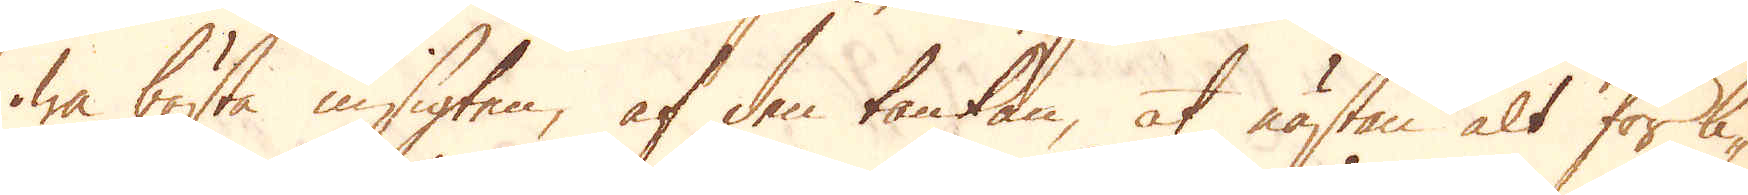wa bästa insigten, af den tankan, at nästan alt för li-
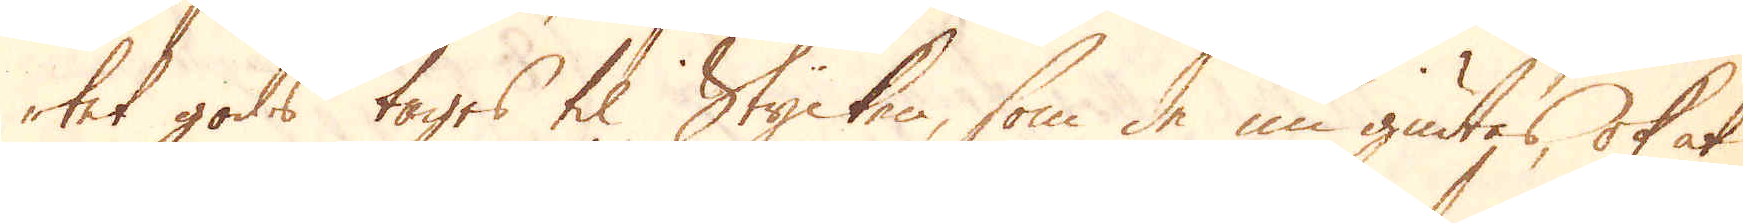tet gods tages til Stycken, som de nu giutas, ok at
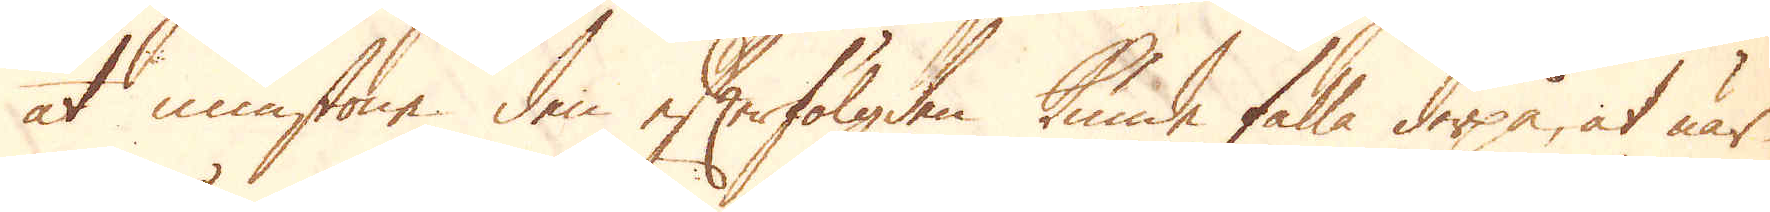åt minstone den efterfölgden kunde falla derpå, at när
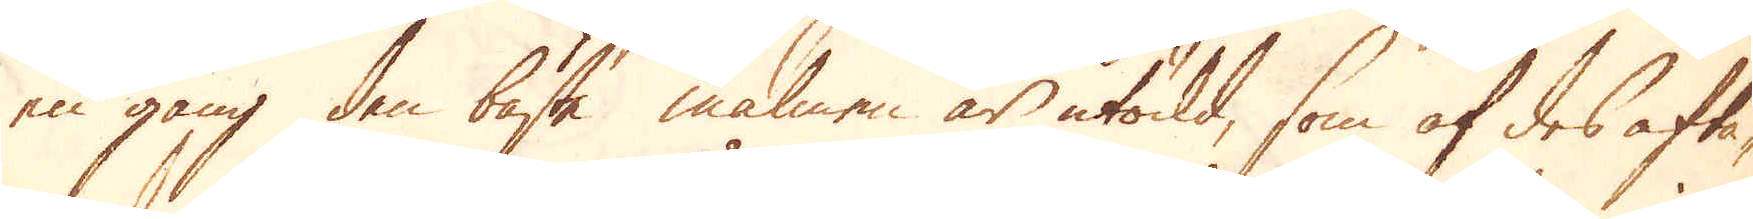en gång den bäste malmen är utödd, som af des afta-
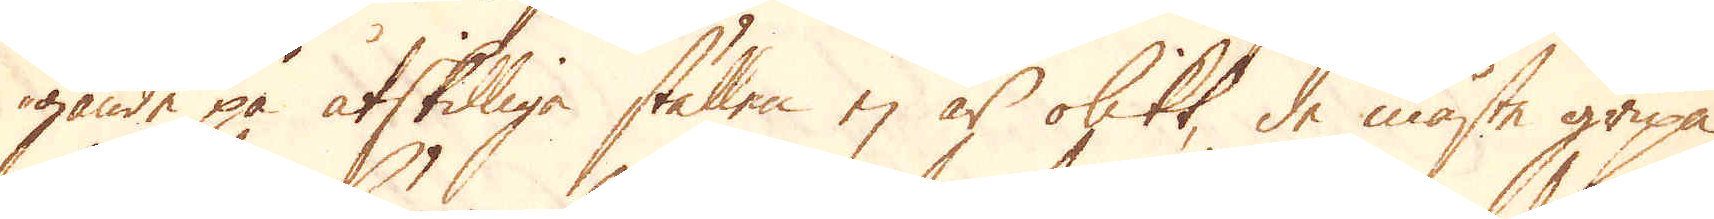gande på åtskilliga ställen ej är olikt, de måste gripa
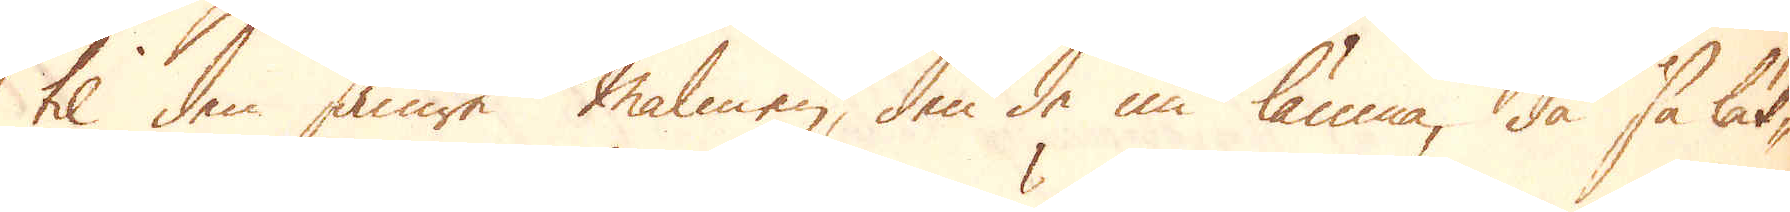til den smäre malmen, den de nu lämna, då så lät-
